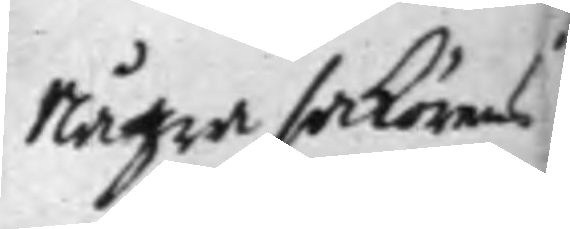Några saköres
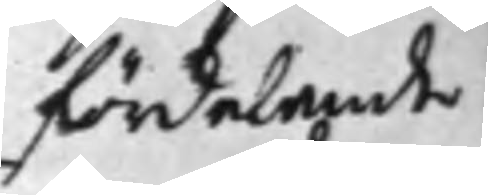fördelande
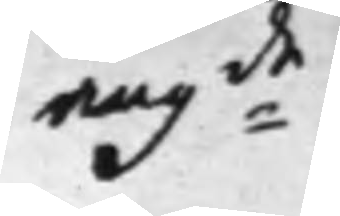ang:de
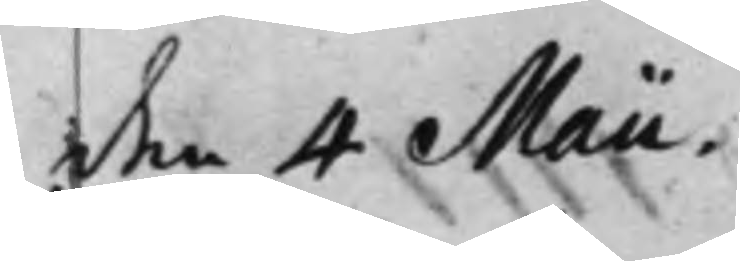den 4 Maii.
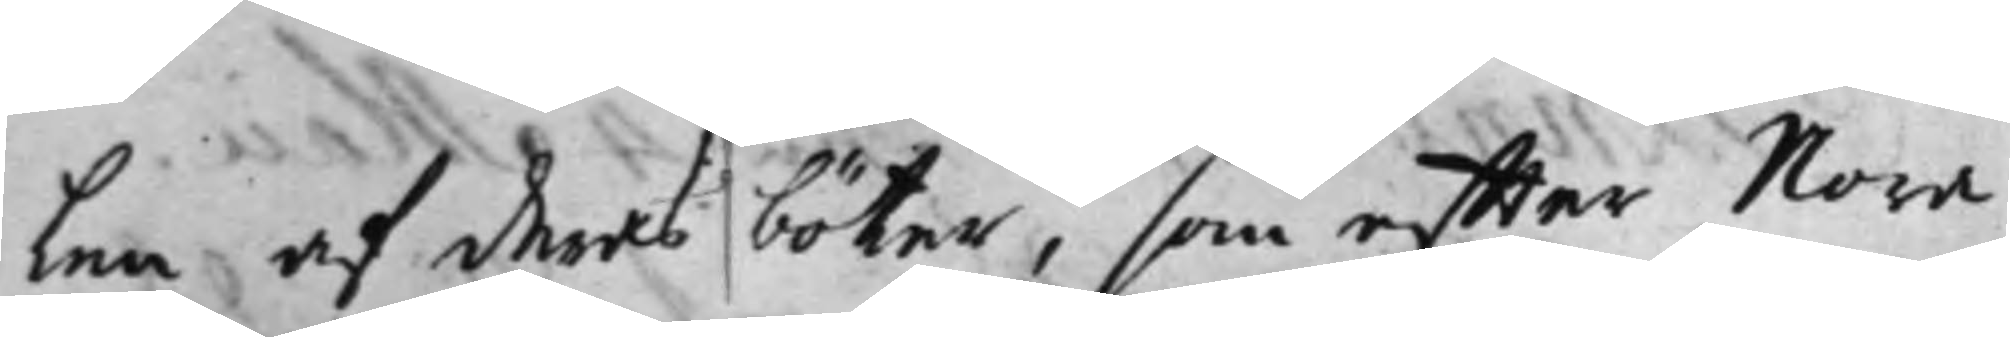len af deras böter, som effter Nora
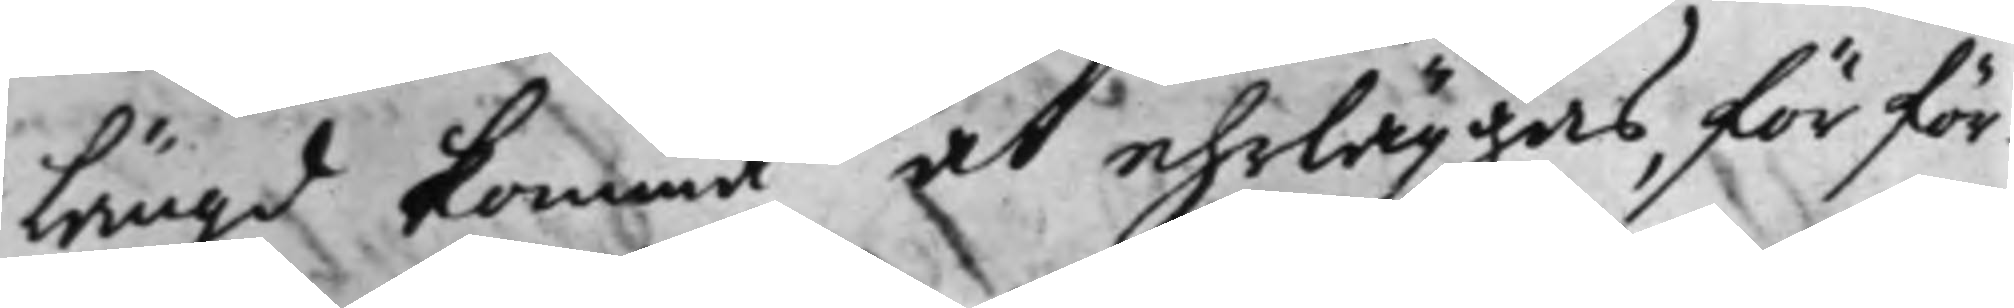Längd komma at ehrläggas, för för¬
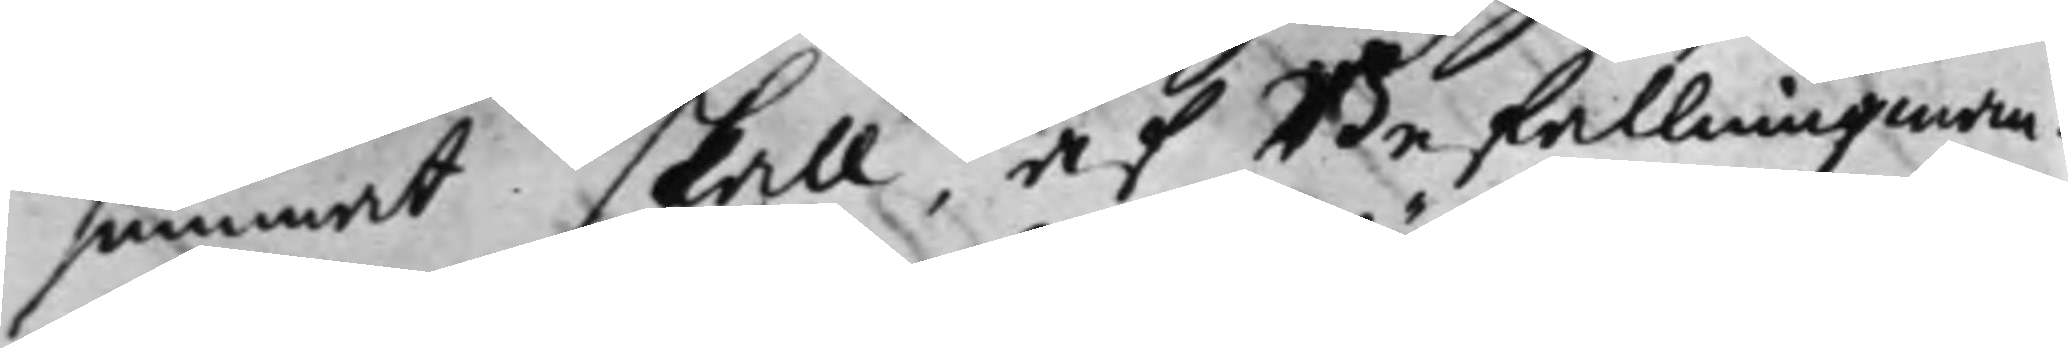summat skall, af Befallningzman¬
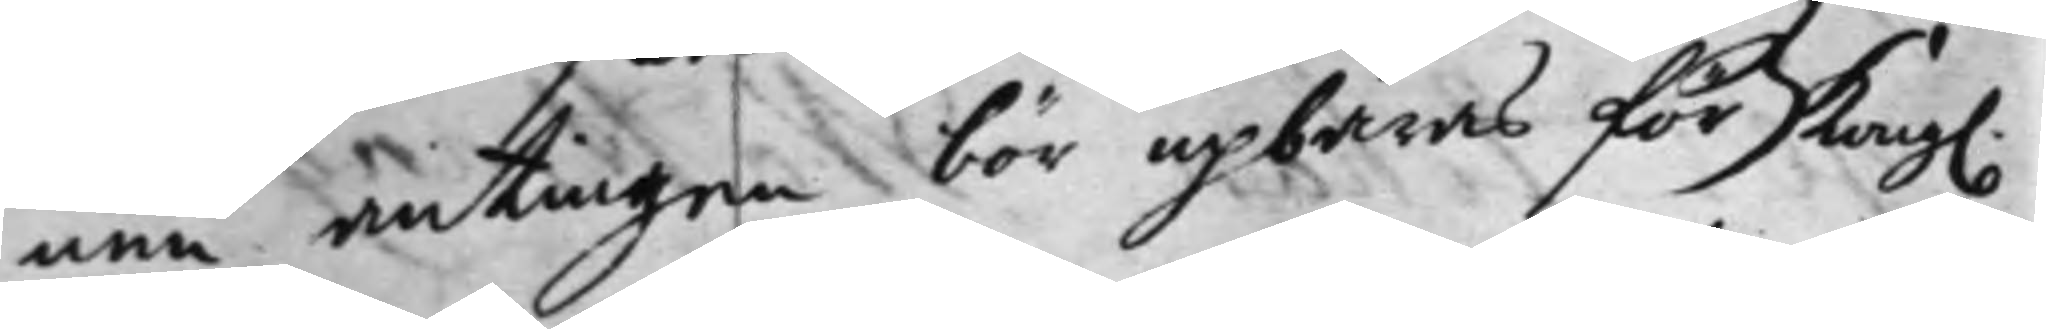nen antingen bör upbäras för Kong.
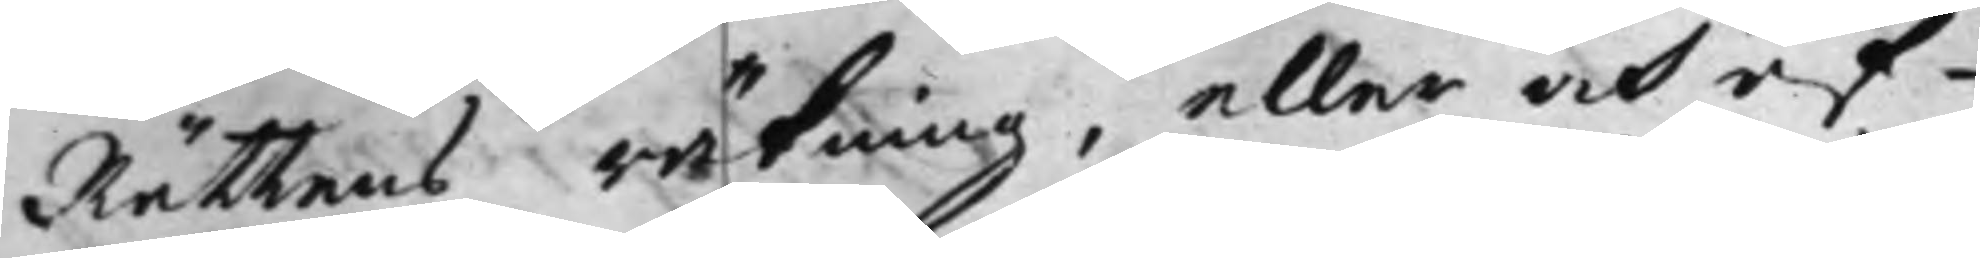Rättens räkning, eller och af¬
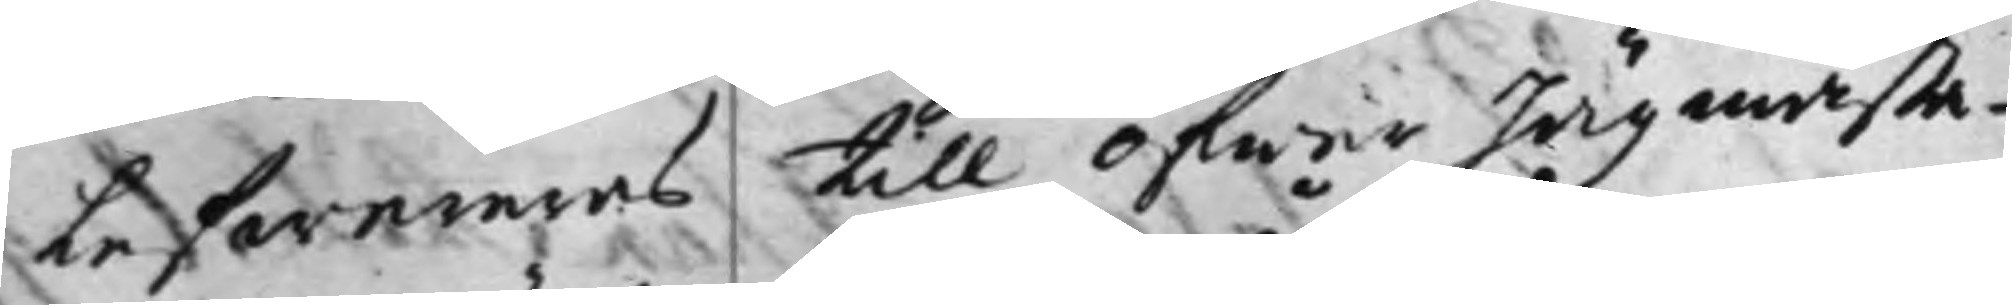Lefwereras till öfwer Jägmästa¬
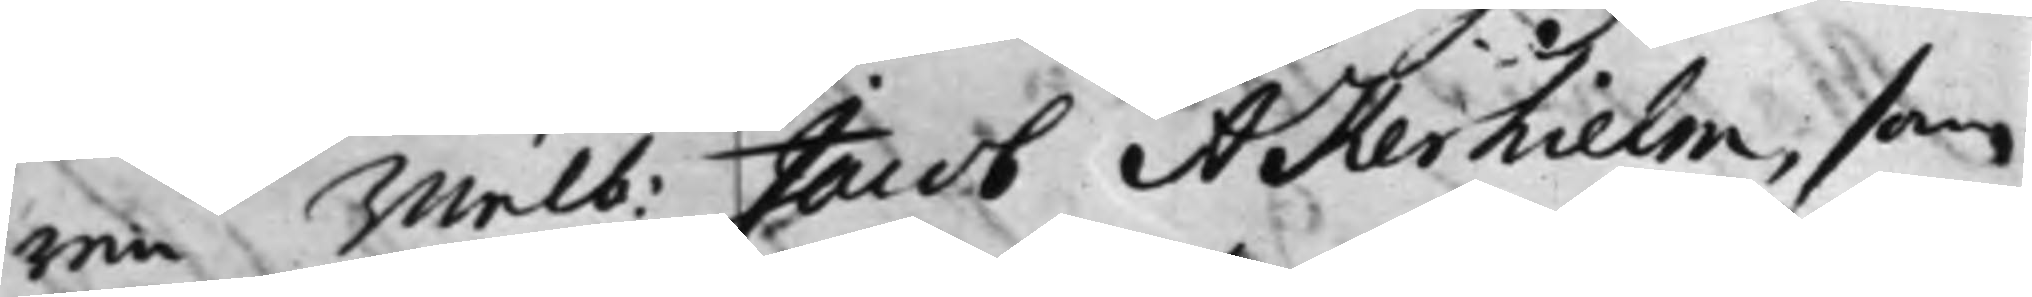ren Wälb. Jacob Åkerhielm, som
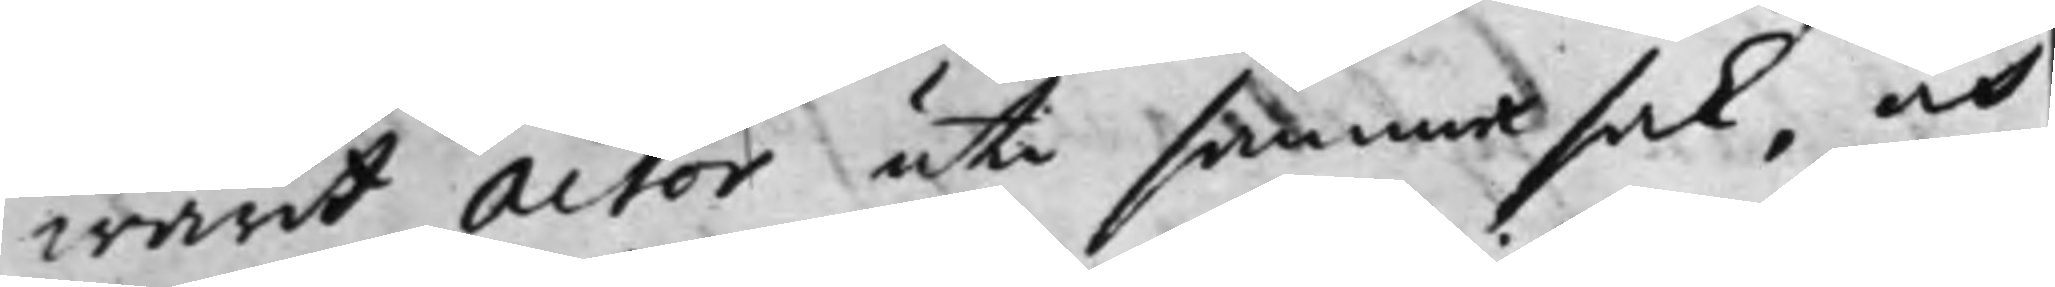warit Actor uti samma sak, och
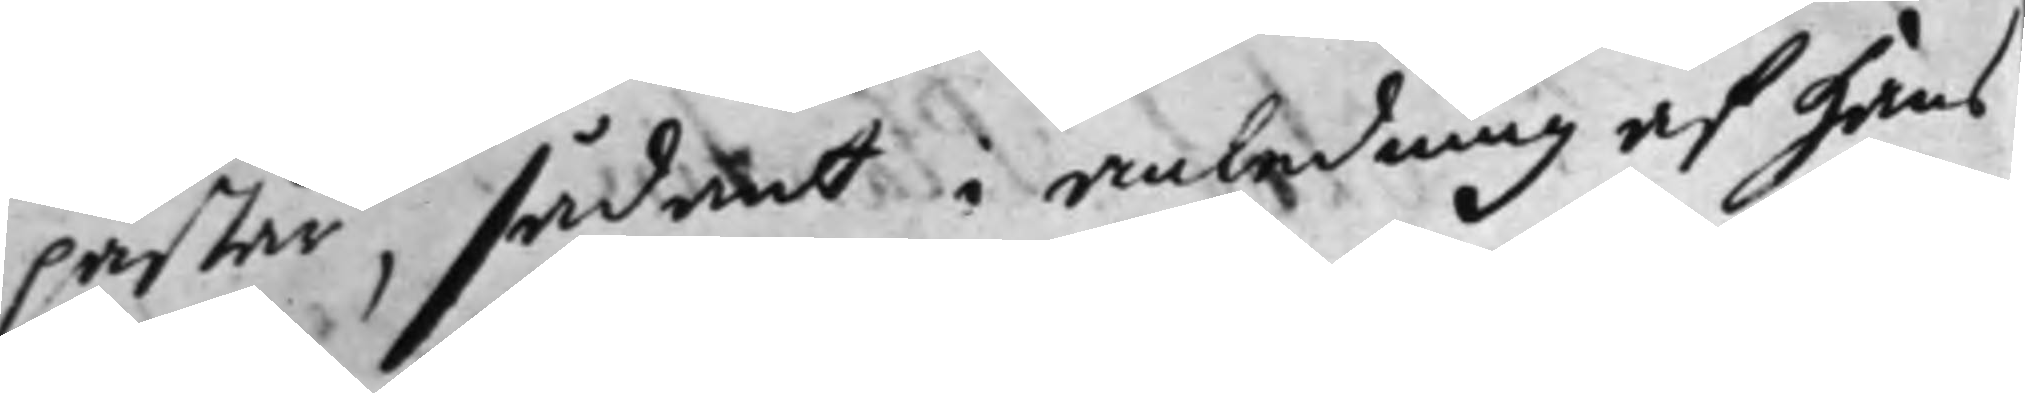påstår, sådant i anledning af hans
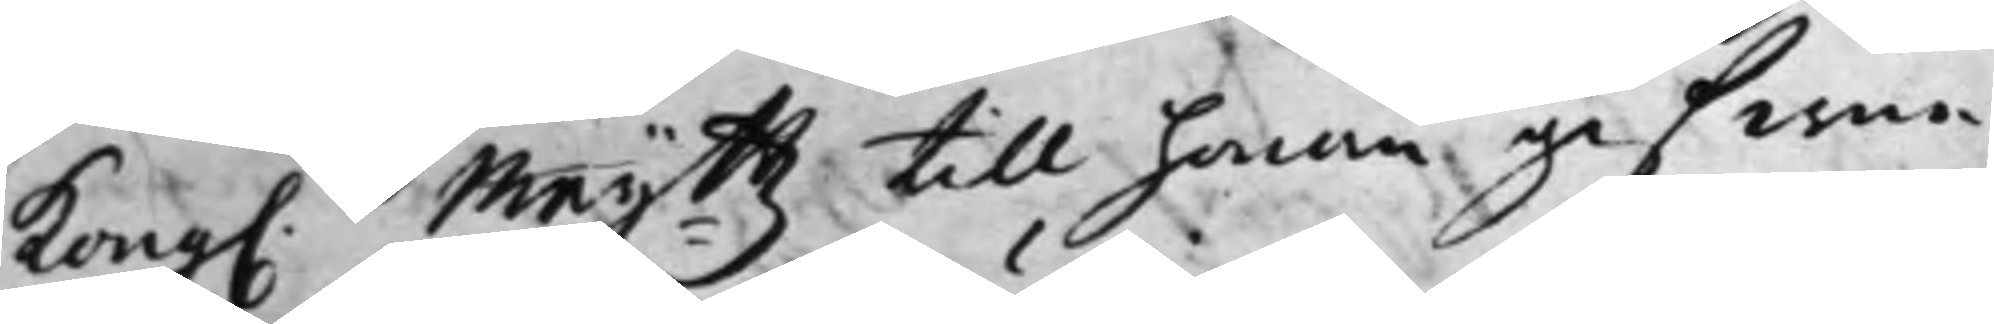Kong. Maij.ttz till honom gifwne
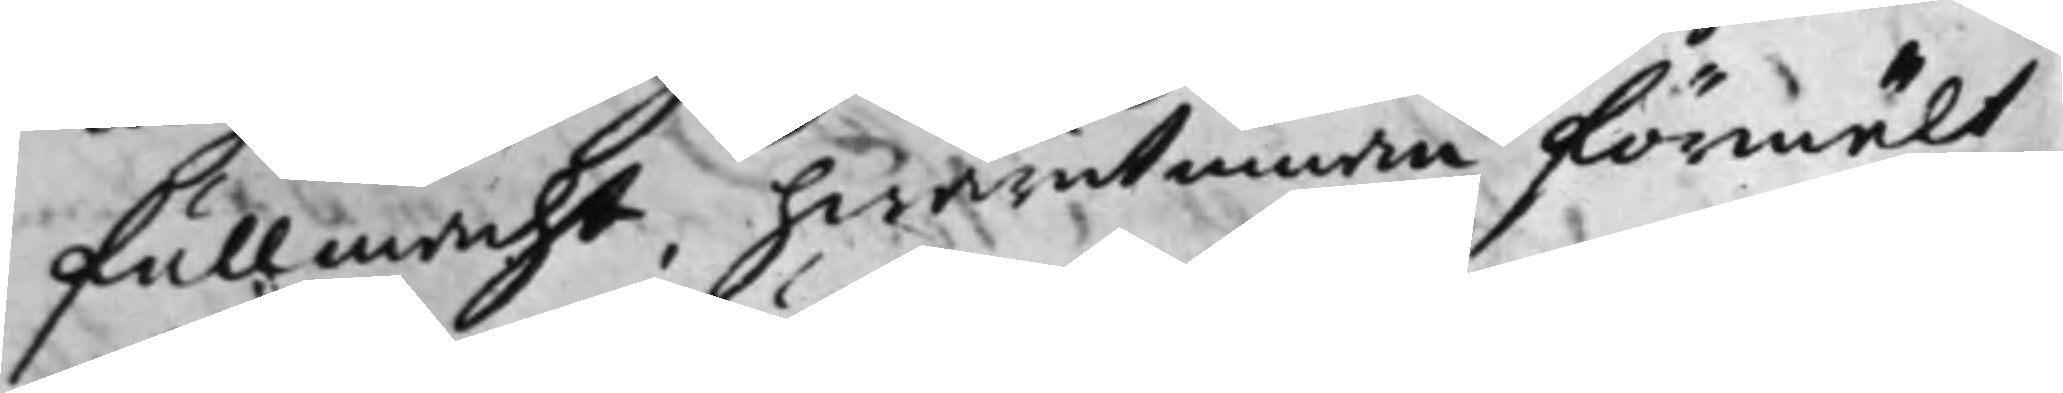fullmacht, hwarutinnan förmält
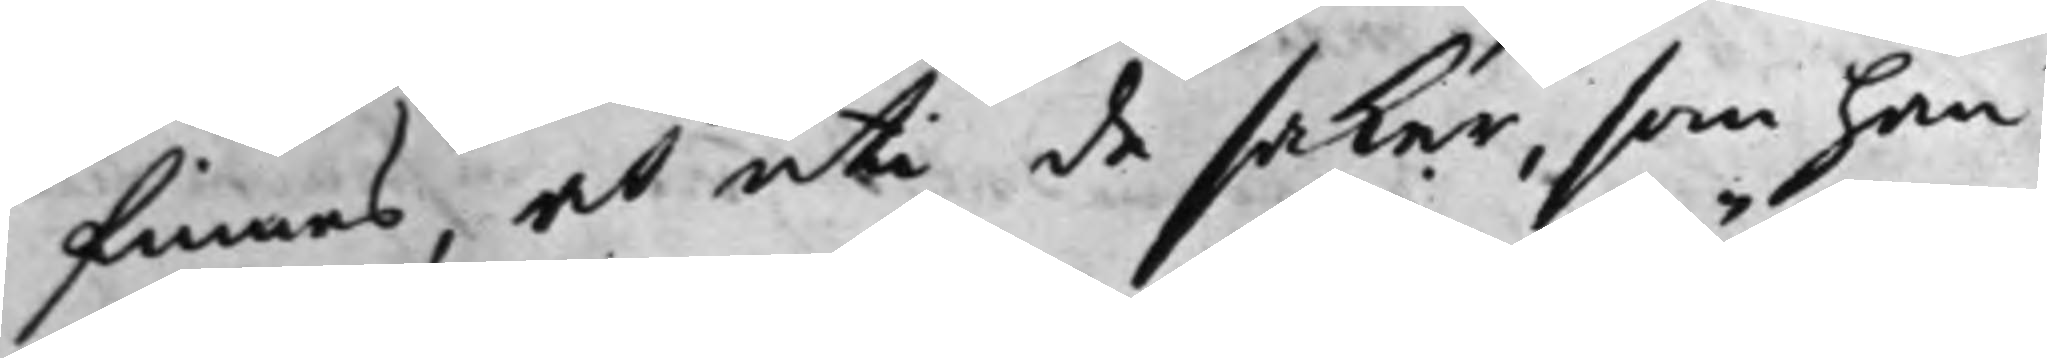finnes, at uti de saker, som han
